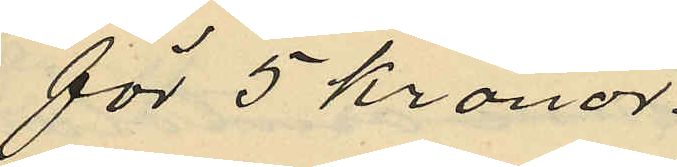för 5 kronor.
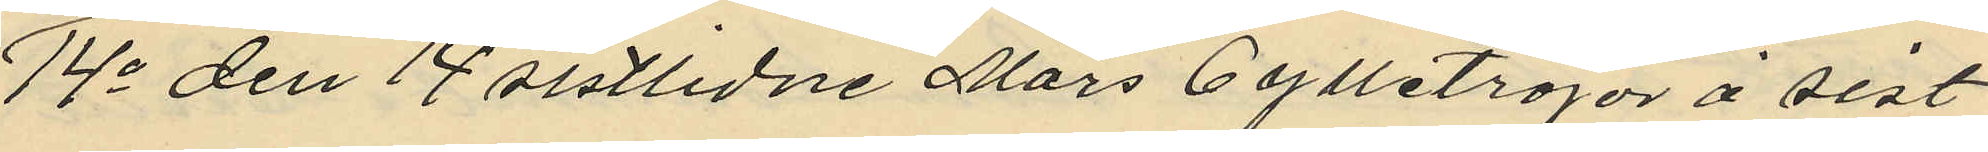14o den 14 sistlidne Mars 6 ylletröjor å sist¬
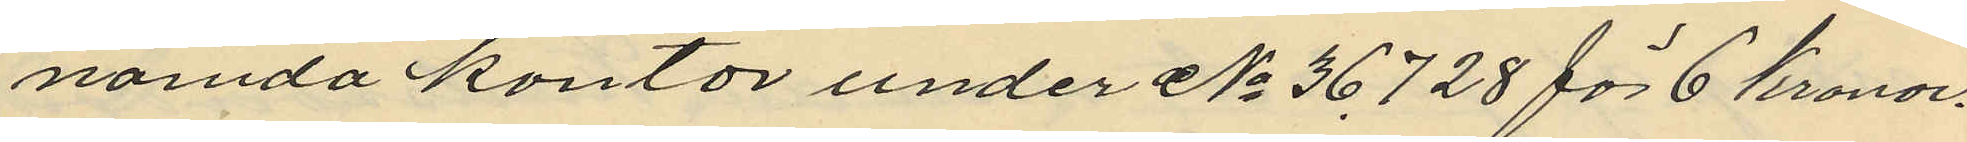nämda kontor under No 36728 för 6 kronor.
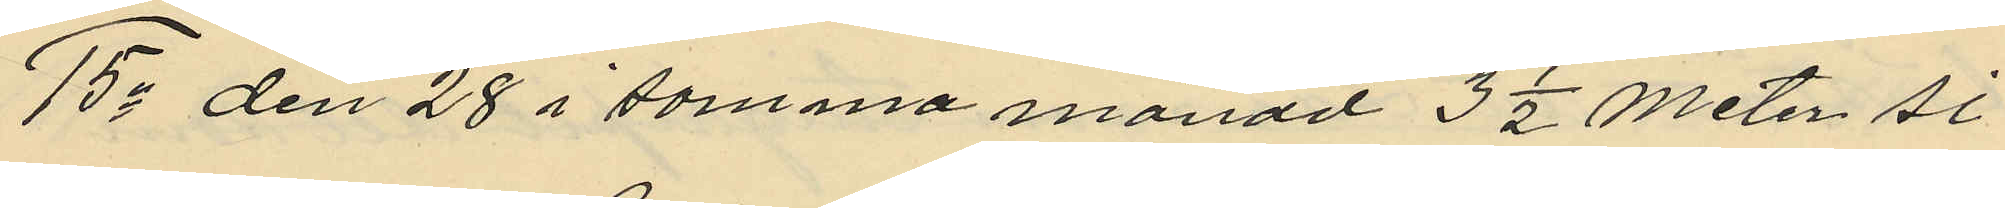15o den 28 i samma månad 3 1/2 Meter si¬
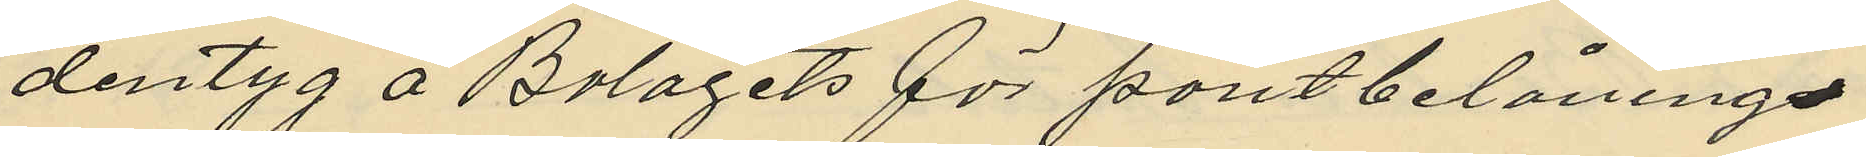dentyg å Bolagets för pantbelåninge¬
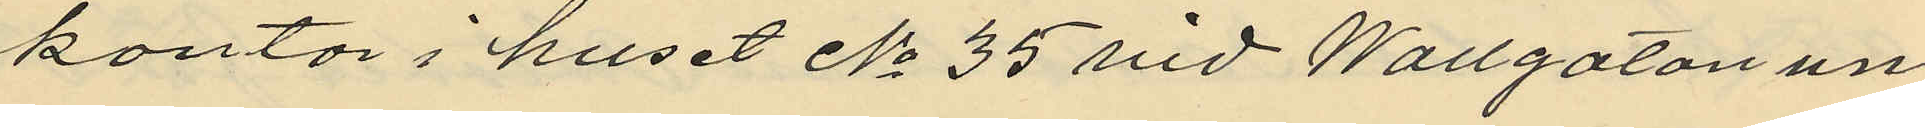kontor i huset No 35 vid Wallgatan un
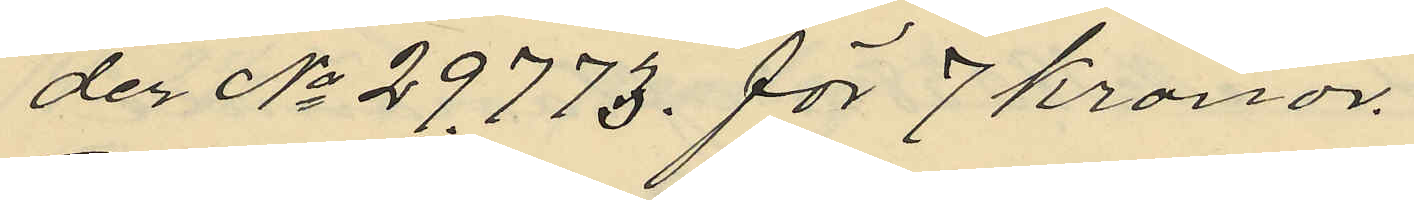der No 29.773. för 7 kronor.
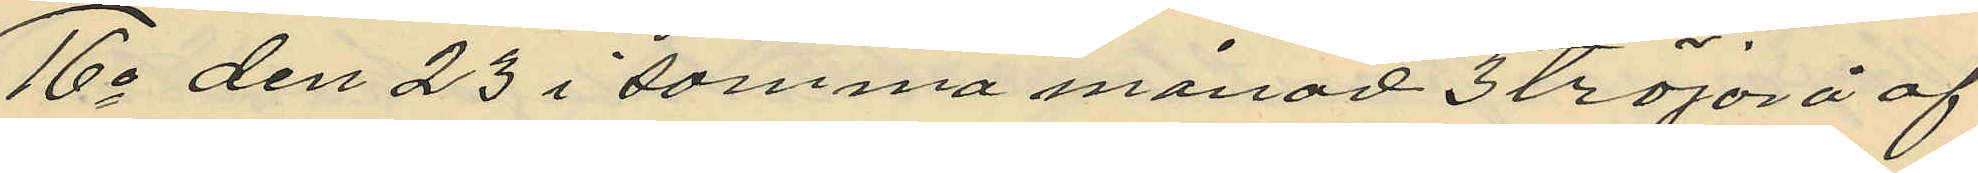16o den 23 i samma månad 3 tröjor å af
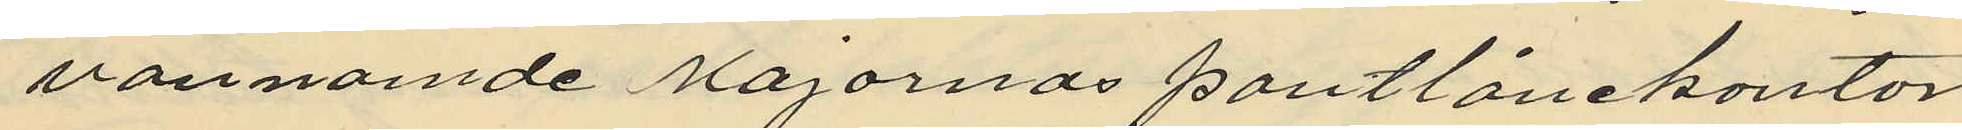ovannände Majornas pantlånekontor
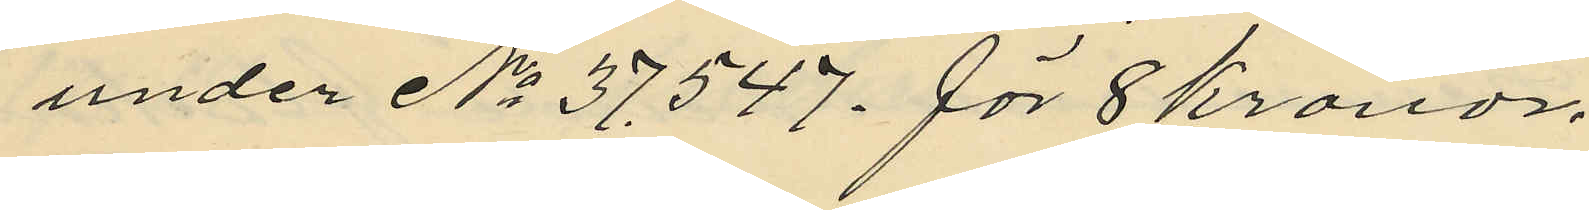under No 37.547. för 8 Kronor.
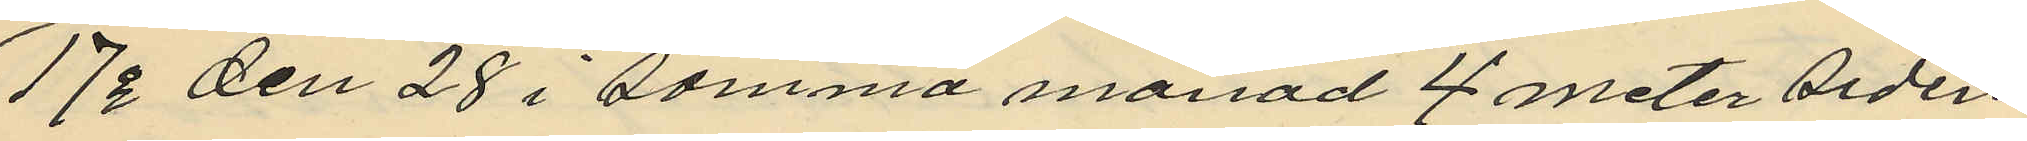17o den 28 i samma månad 4 meter siden
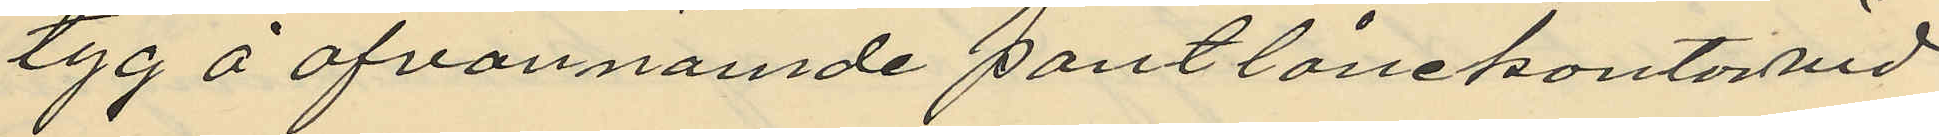tyg å ofvannämde pantlånekontor vid
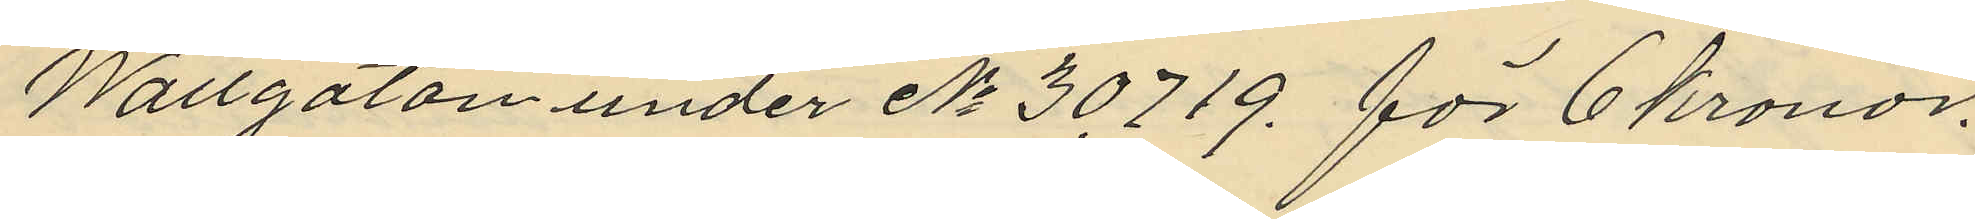Wallgatan under No 30.719. för 6 kronor.
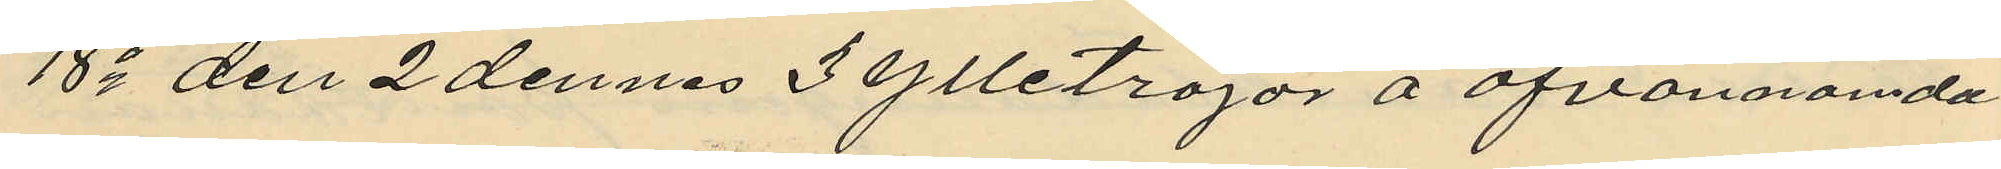18o den 2 dennes 3 ylletröjor å ofvannämda
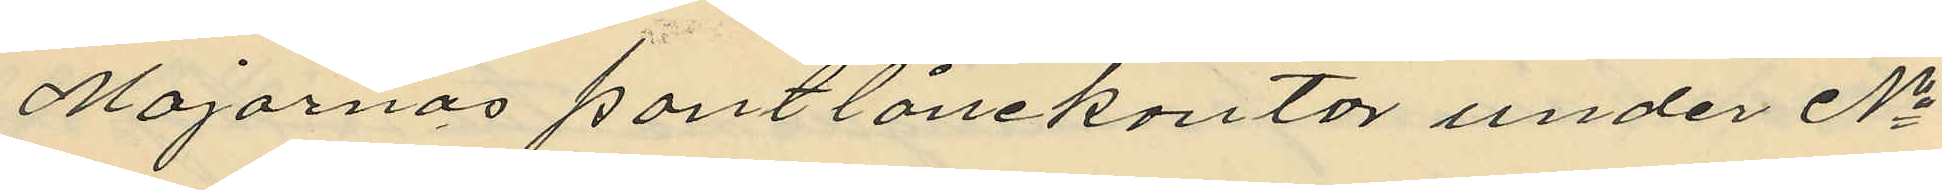Majornas pantlånekontor under No
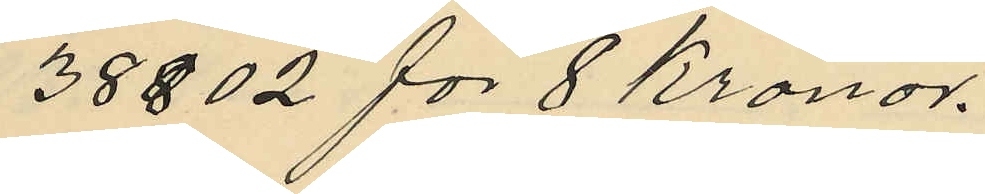38802 för 8 Kronor.
